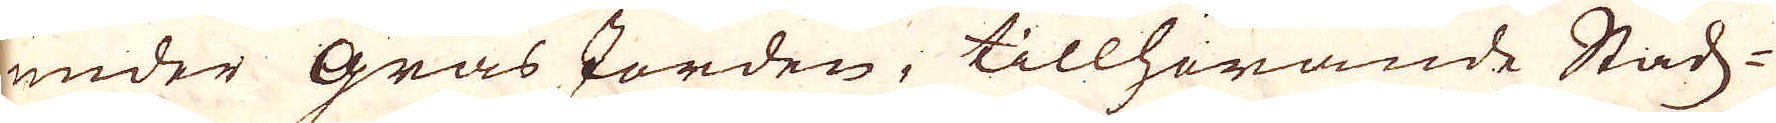under gräs Jorden, tillhörande Stads-
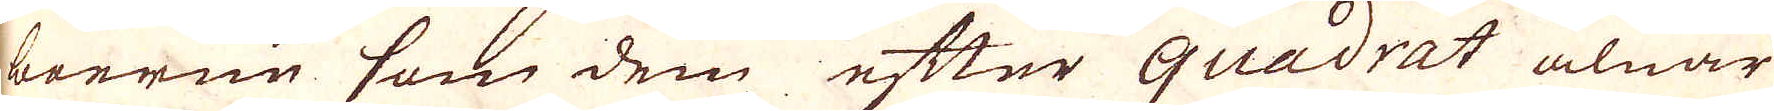boerne som dem efter quadrat alnar
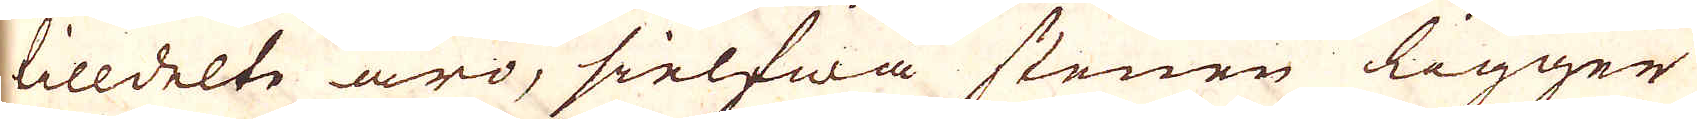tilldelte äro, sielfwa stenen ligger
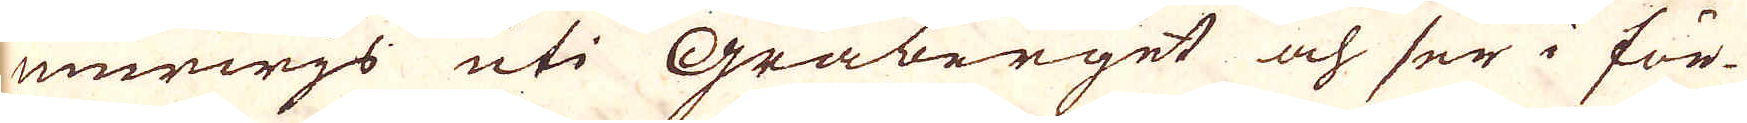murwjs uti Gråberget och ser i för-
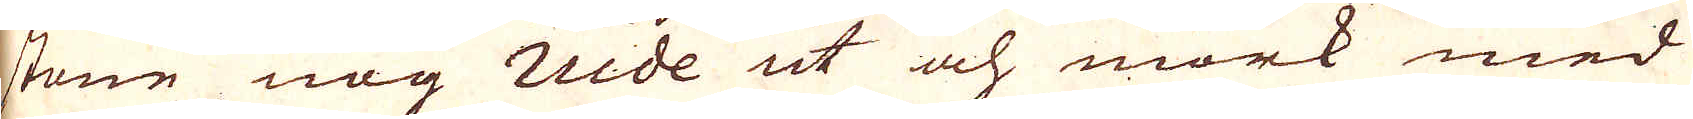stone nog nide ut och mörk med
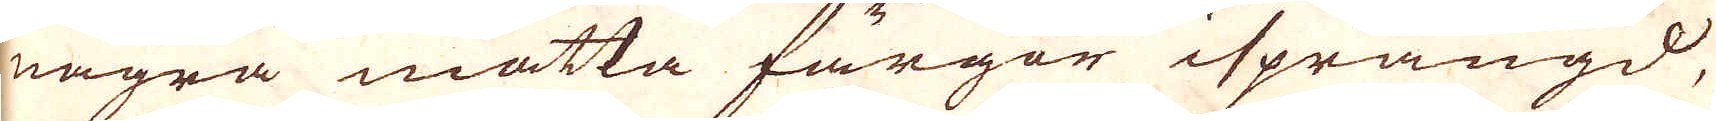några matta färgor isprängd,
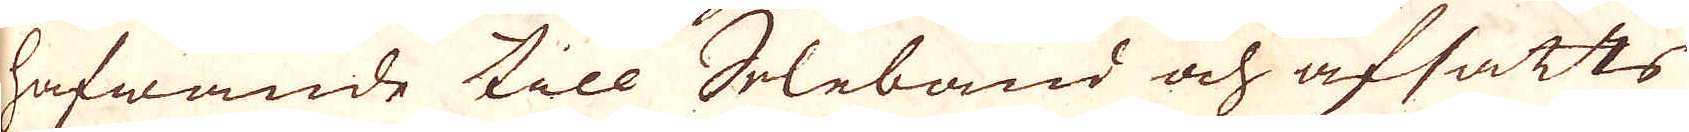hafwande till Seleband och afsatts
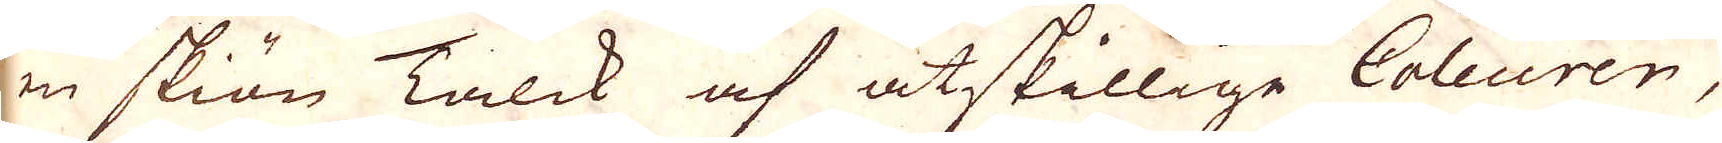en skiön Talck af åtskillige Coleuren,
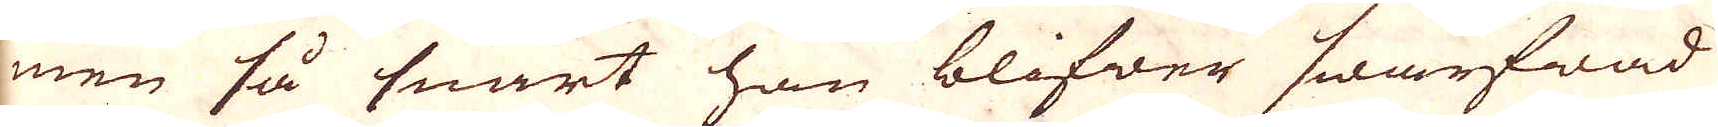men så snart han blifwer swarfwad
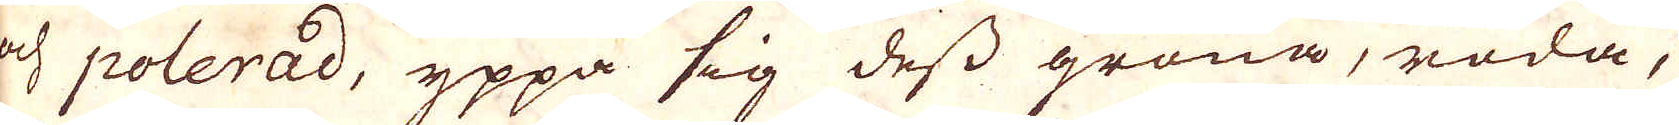och polerad, yppa sig dess gröna, röda,
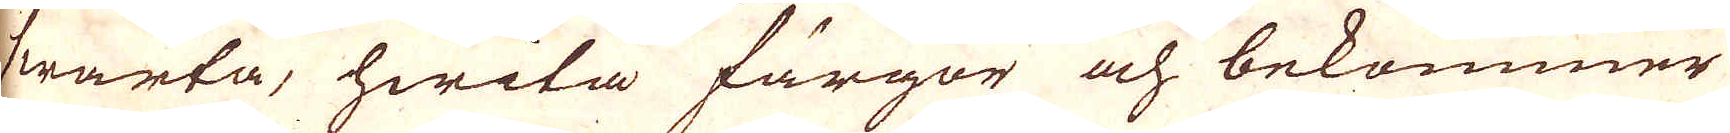swarta, hwita färgor och bekommer
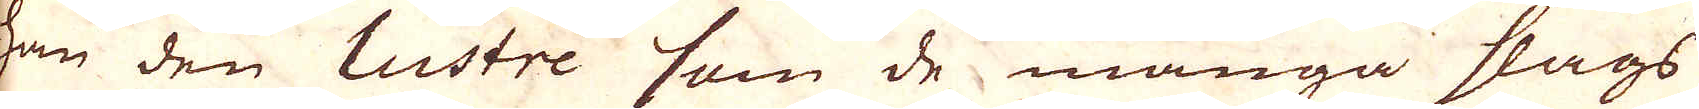han den lustre som de många slags
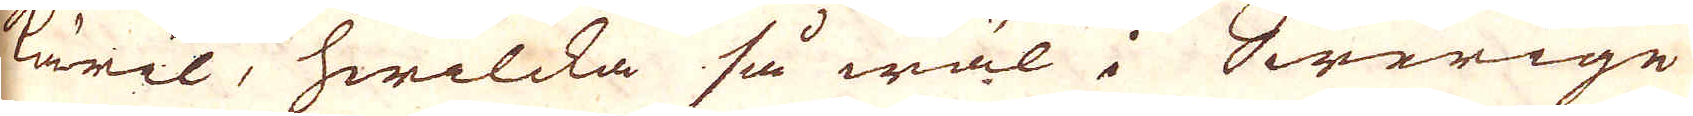käril, hwilcka så wäl i Swerige
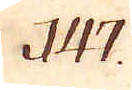147.
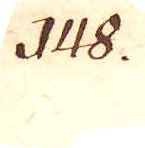148.
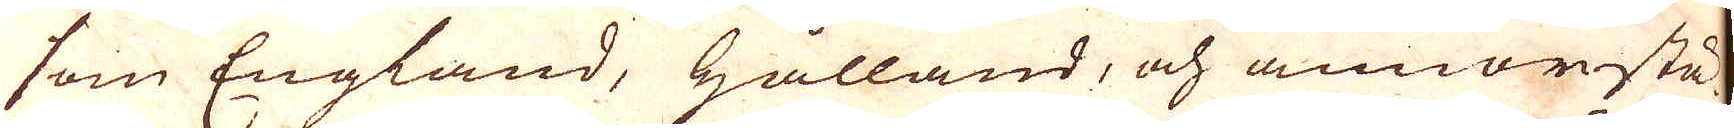som England, Hålland, och annorstä-
